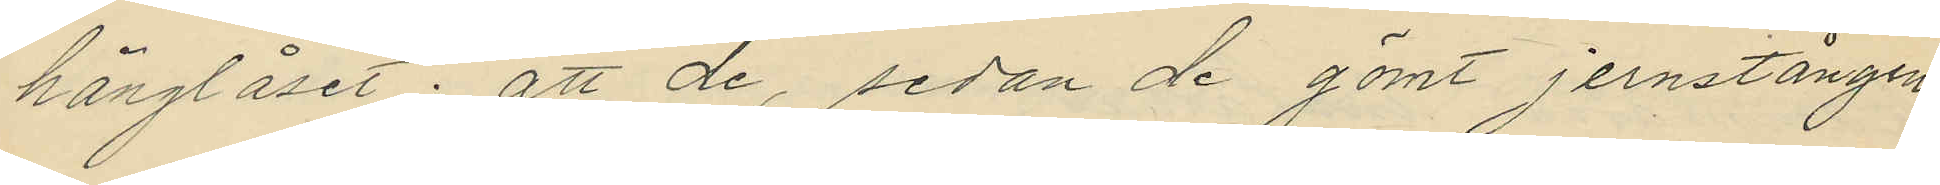hänglåset; att de, sedan de gömt jernstången
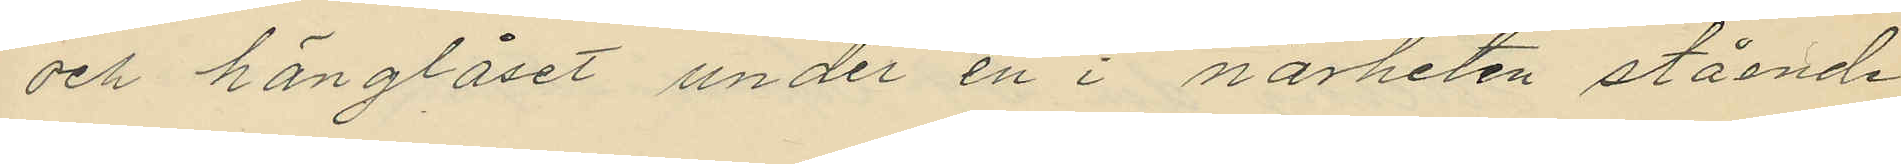och hänglåset under en i närheten stående
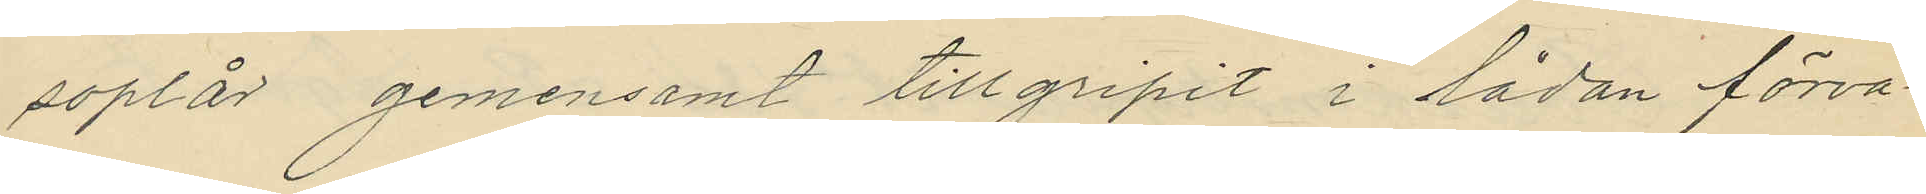soplår gemensamt tillgripit i lådan förva¬
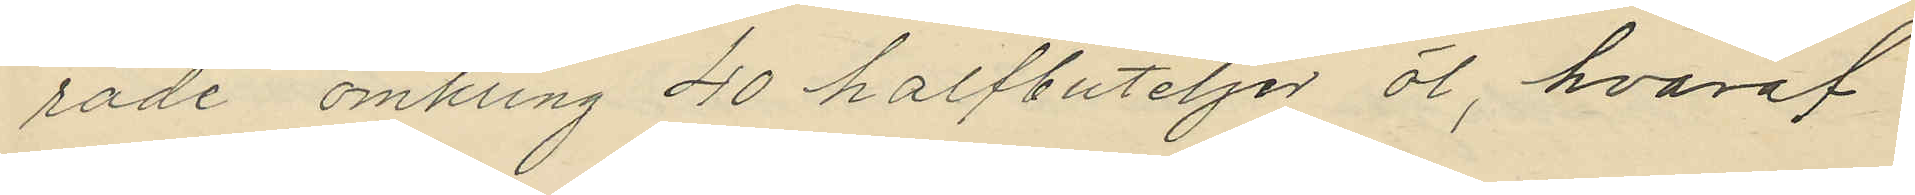rade omkring 40 halfbuteljer öl, hvaraf
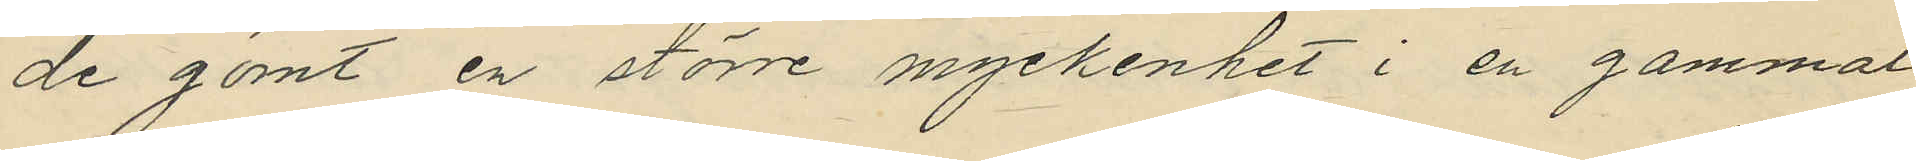de gömt en större myckenhet i en gammal
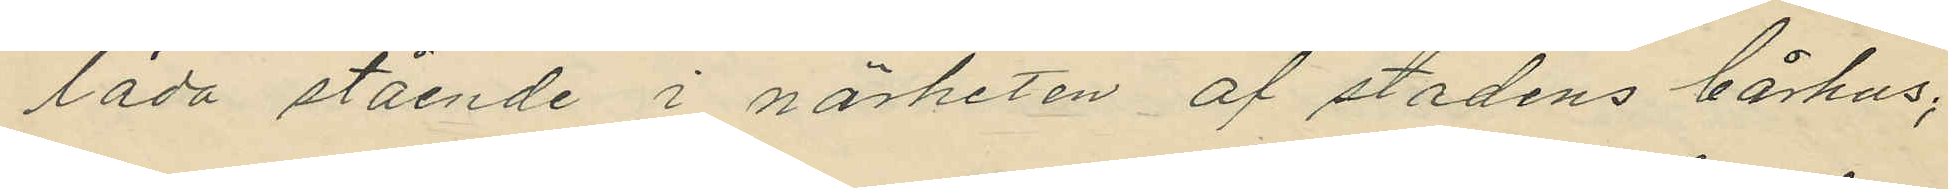låda stående i närheten af stadens bårhus;
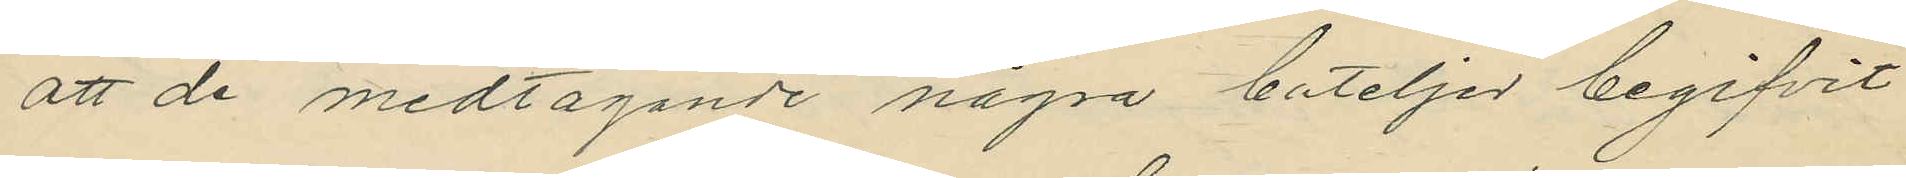att de medtagande några buteljer begifvit
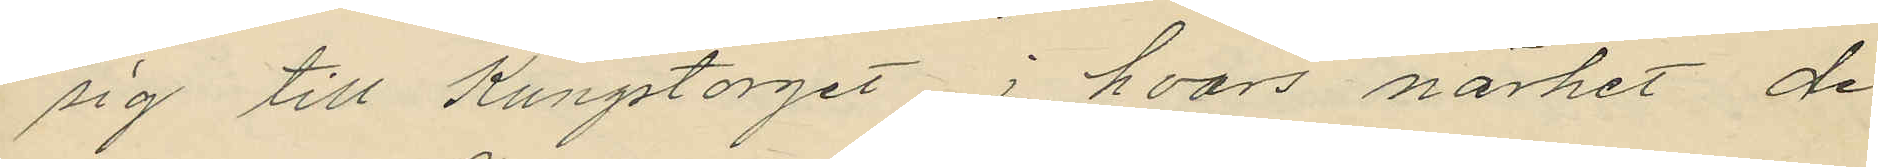sig till Kungstorget i hvars närhet de
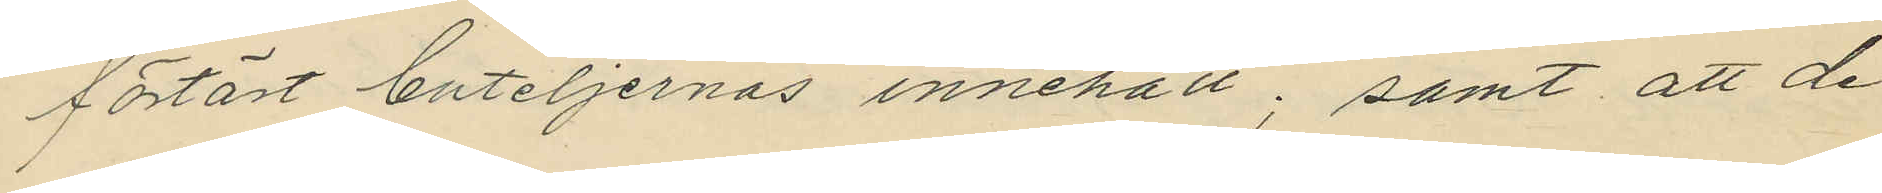förtärt buteljernas innehåll; samt att de
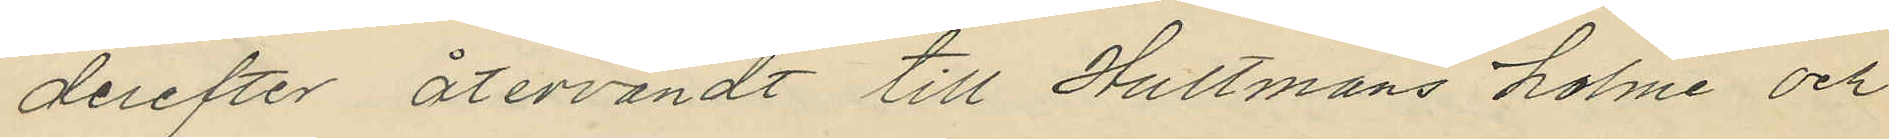derefter återvändt till Hultmans holme och
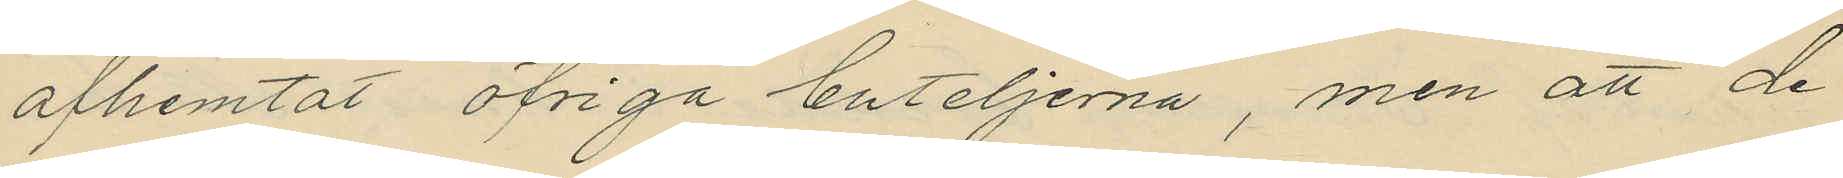afhemtat öfriga buteljerna, men att de
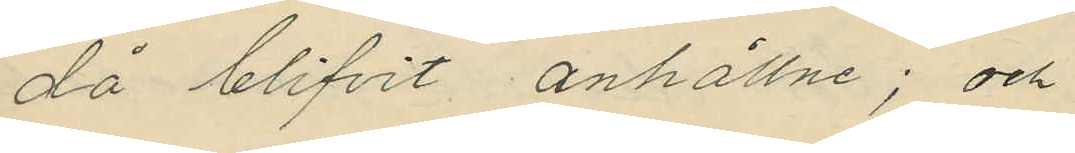då blifvit anhållne; och
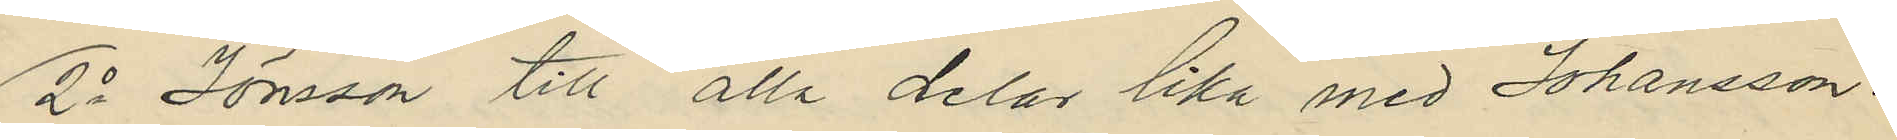2o Jönsson till alla delar lika med Johansson.
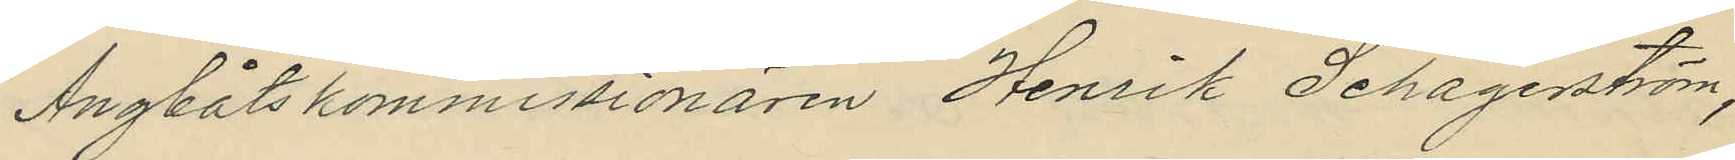Ängbåtskommissionären Henrik Schagerström,
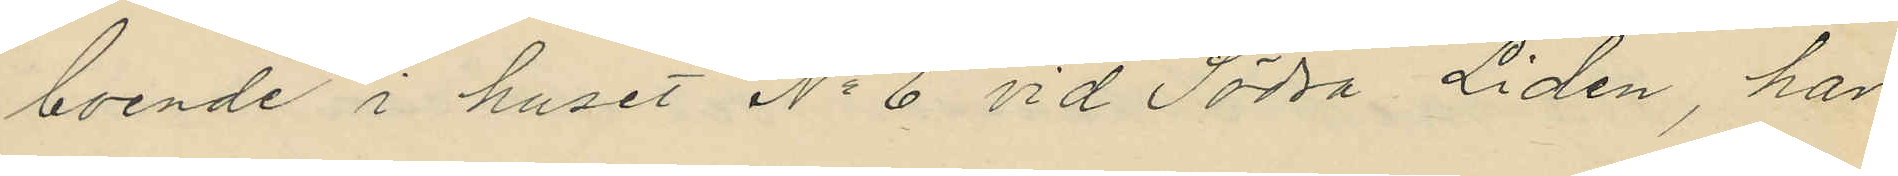boende i huset No 6 vid Södra Lidén, har
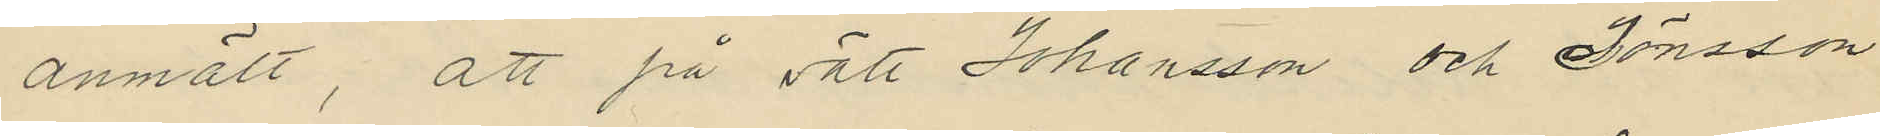anmält, att på sätt Johansson och Jönsson
